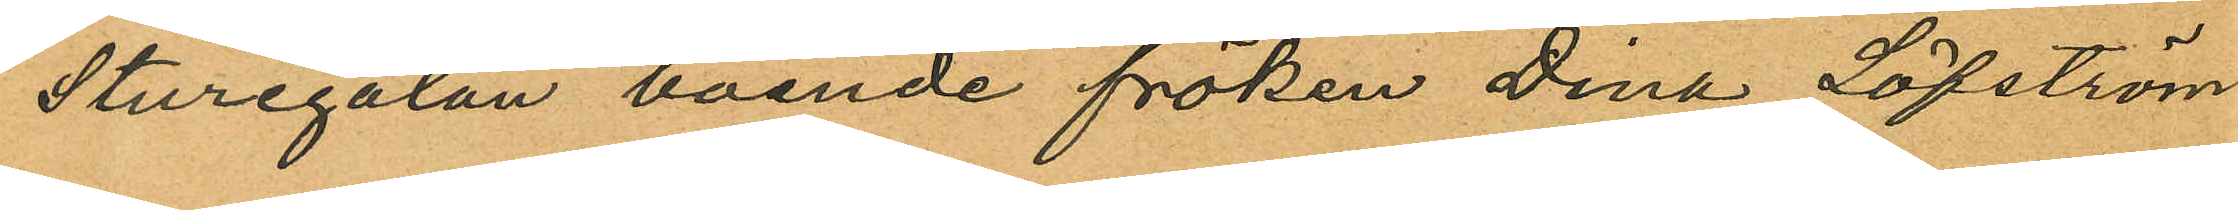Sturegatan boende fröken Dina Löfström
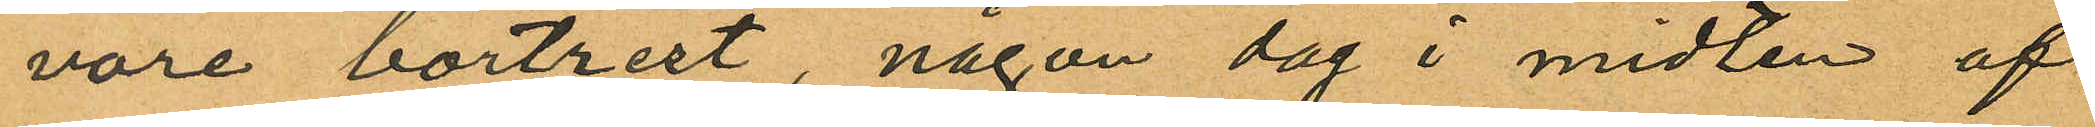vore bortrest, någon dag i midten af
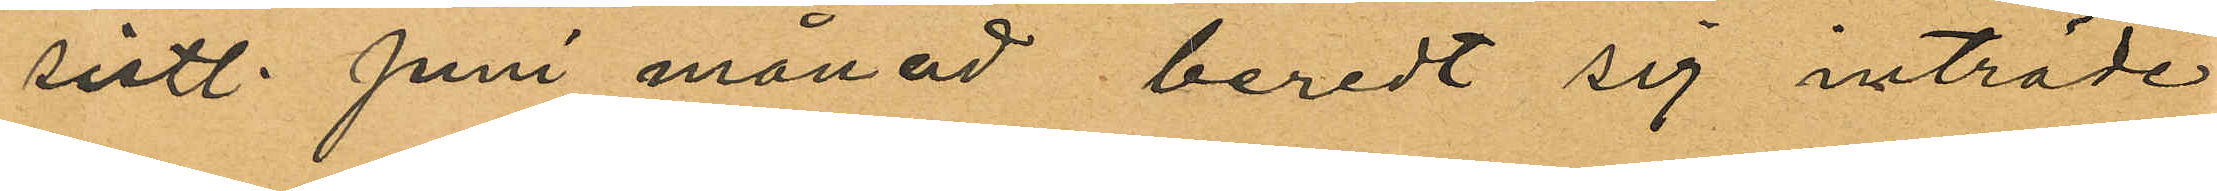sistl. Juni månad beredt sig inträde
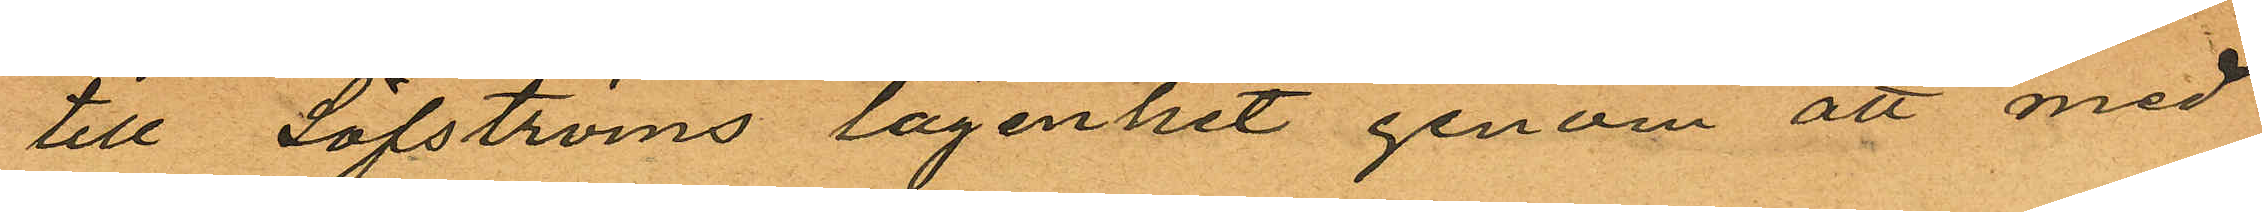till Löfströms lägenhet genom att med
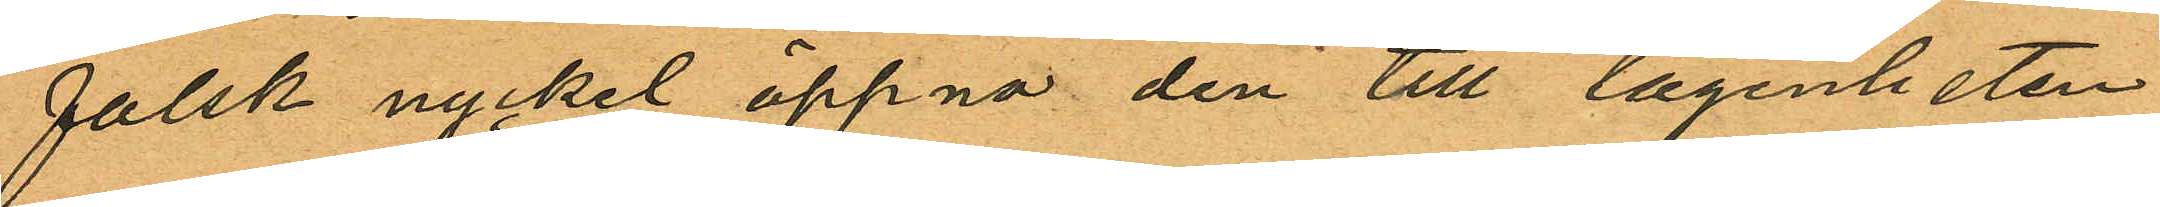falsk nyckel öppna den till lägenheten
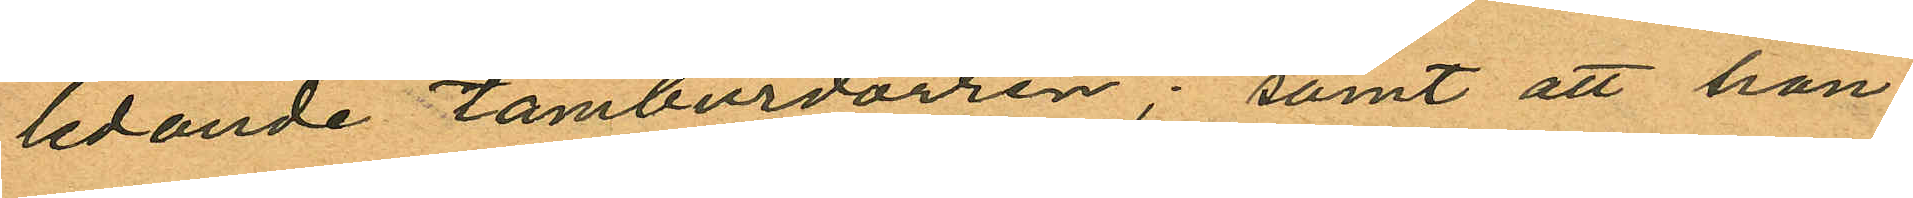ledande tamburdörren; samt att han
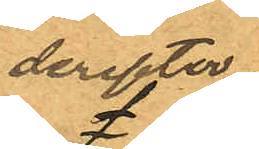dereffter
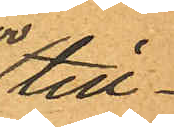till¬
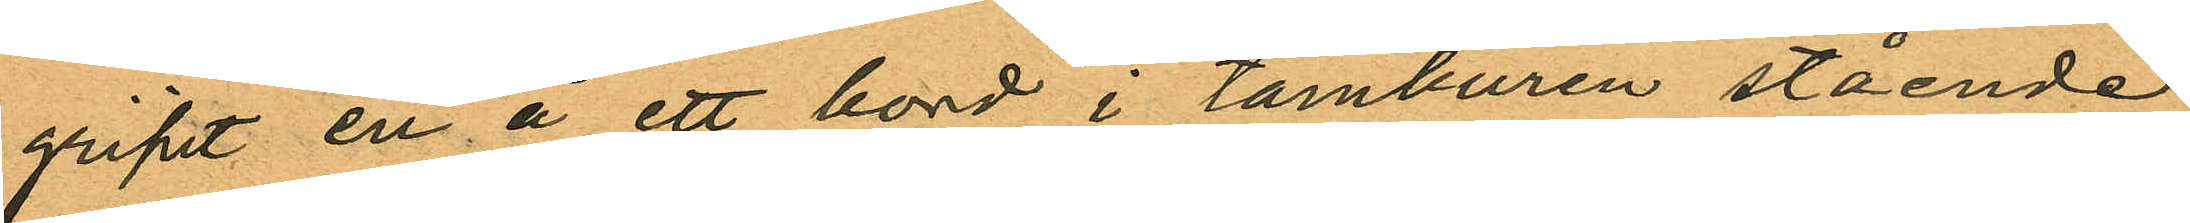gripit en å ett bord i tamburen stående
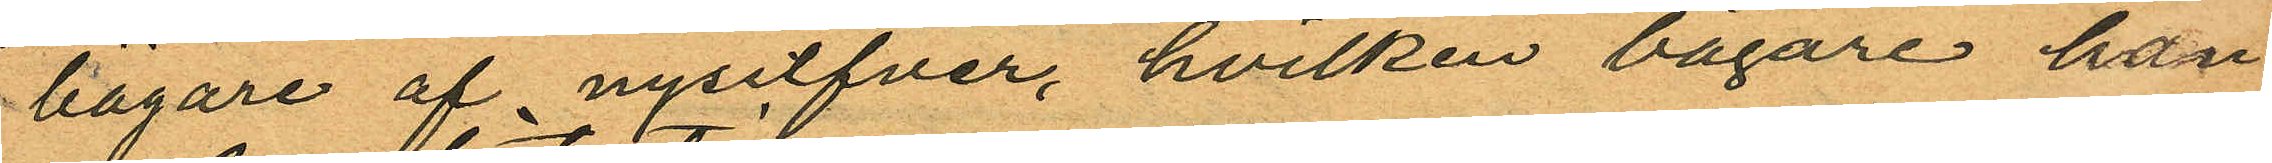bägare af nysilfver, hvilken bägare han
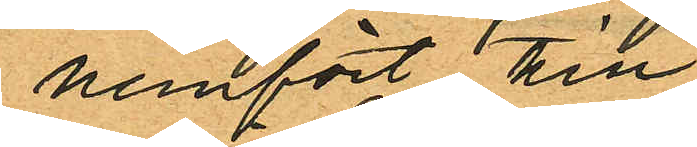hemfört till
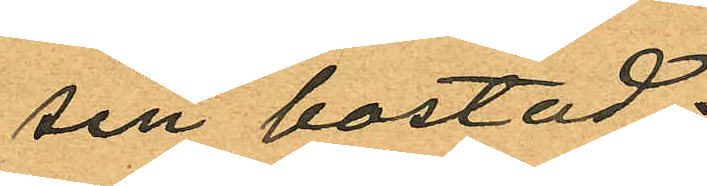sin bostad
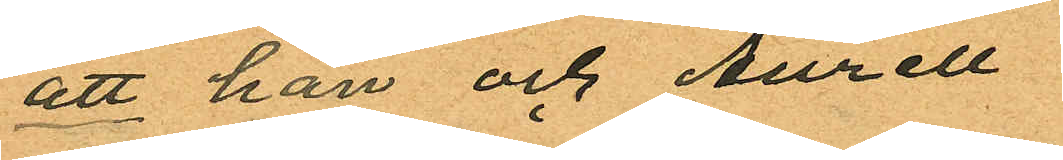att han och Aurell
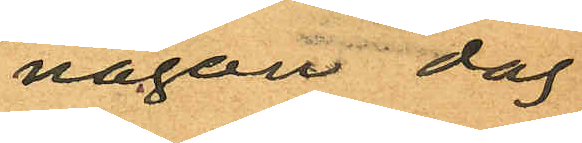någon dag
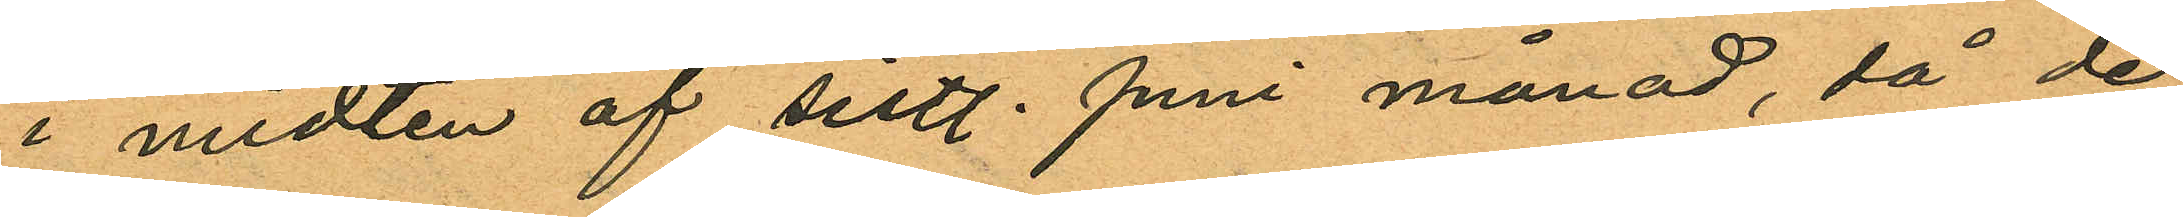i midten af sistl. Juni månad, då de
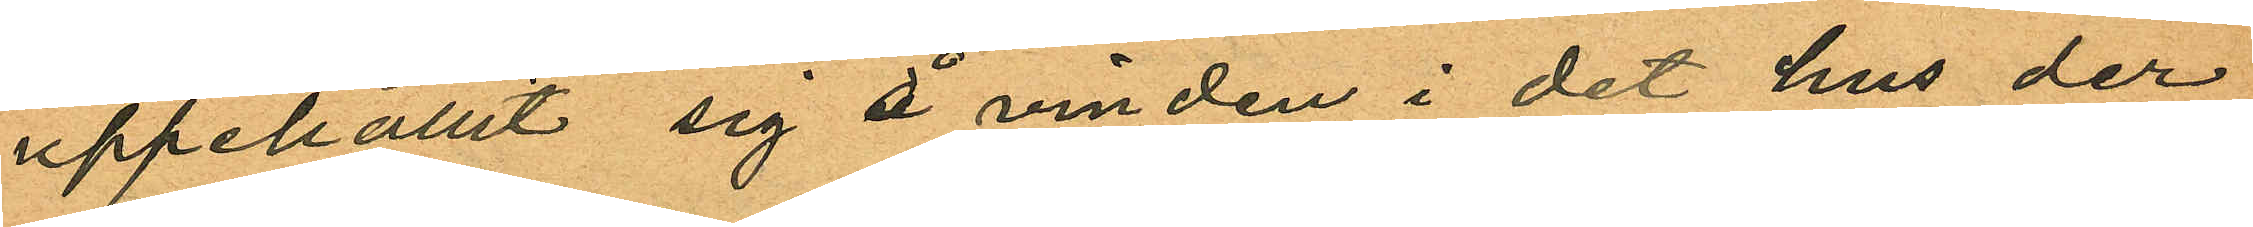uppehållit sig å vinden i det hus der
